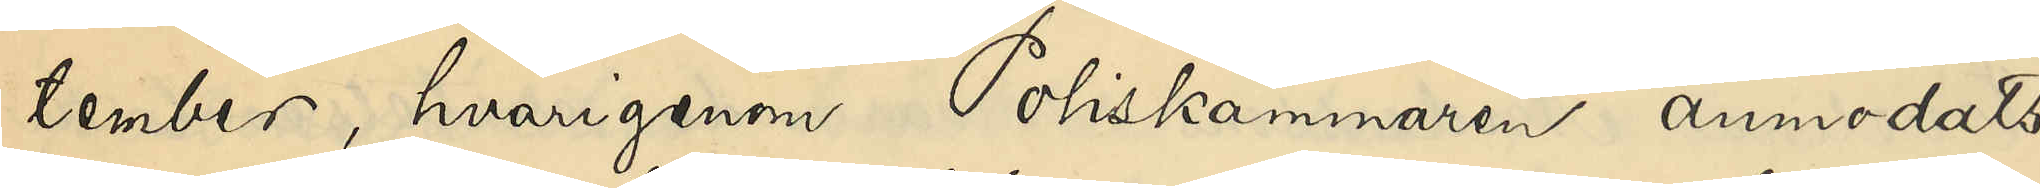tember, hvarigenom Poliskammaren anmodats
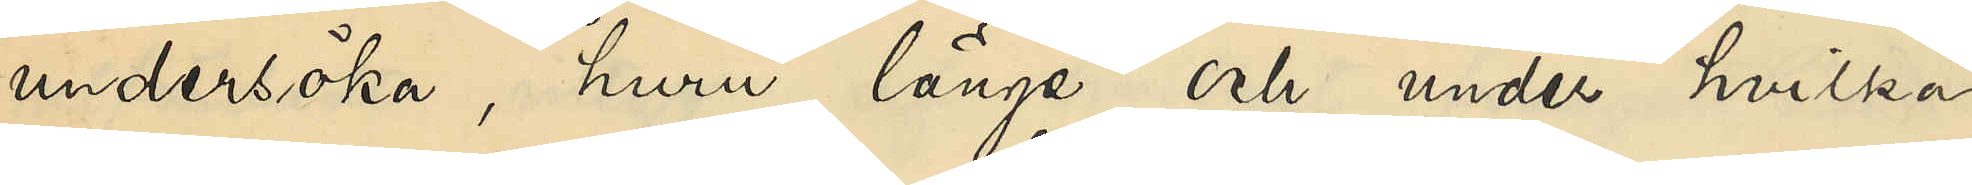undersöka, huru länge och under hvilka
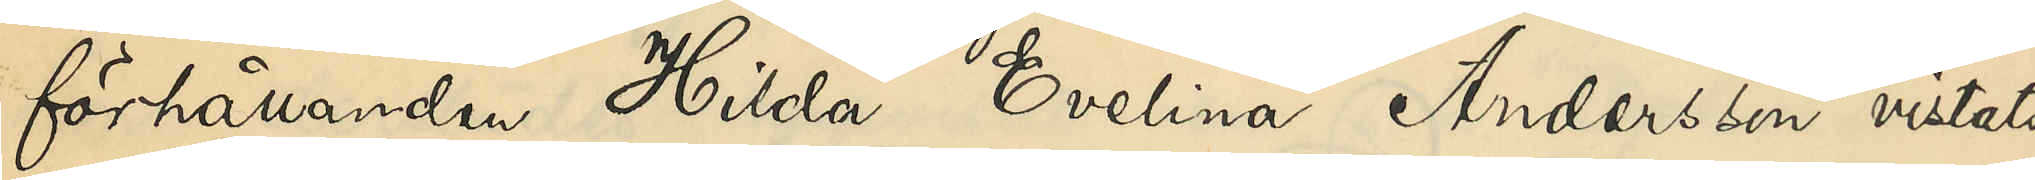förhållanden Hilda Evelina Andersson vistats
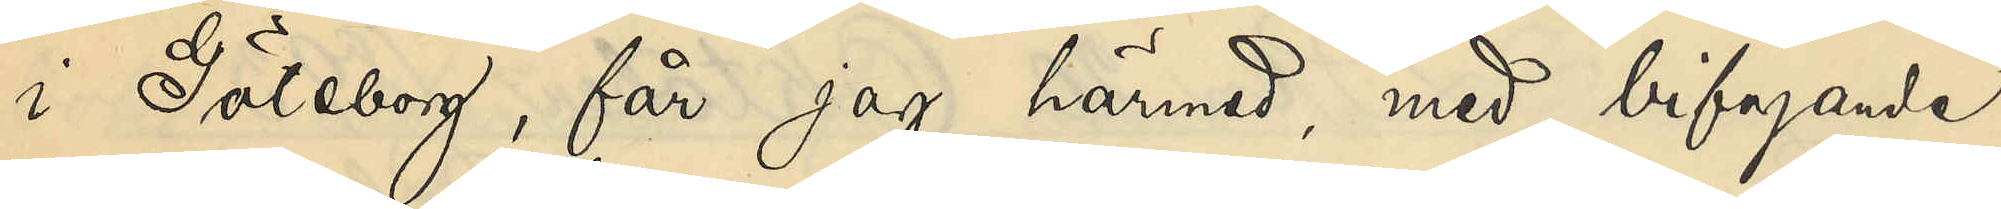i Göteborg, får jag härmed, med bifogande
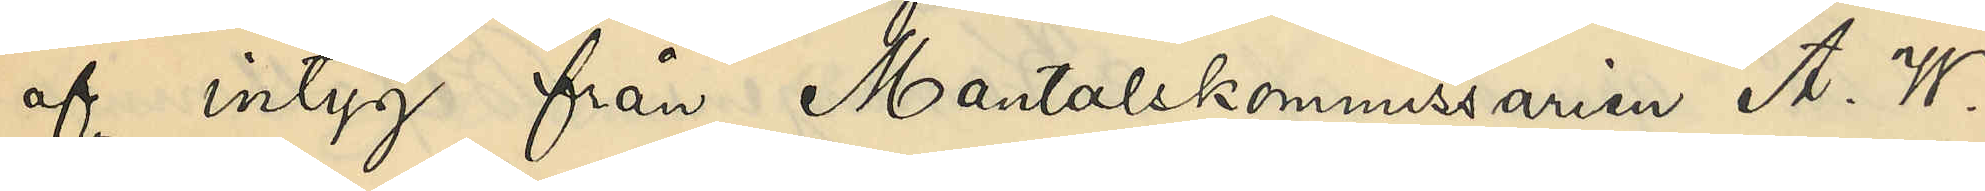af intyg från Mantalskommissarien A. W.
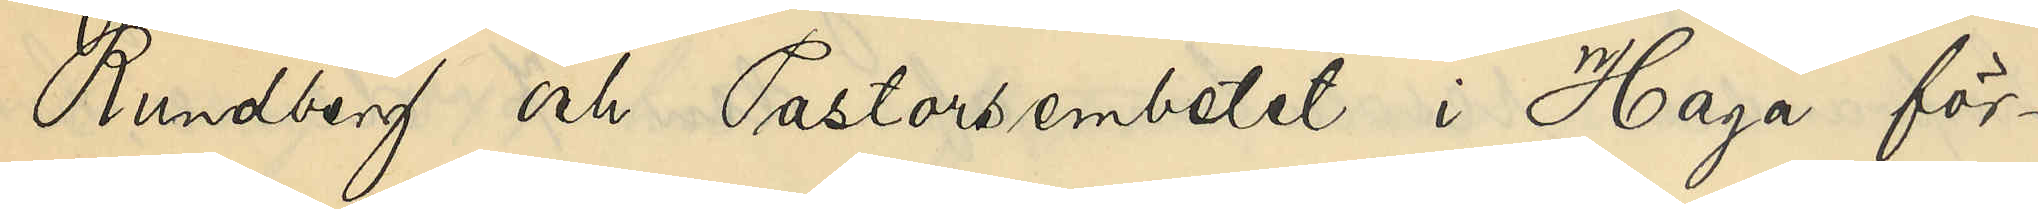Rundberg och Pastorsembetet i Haga för¬
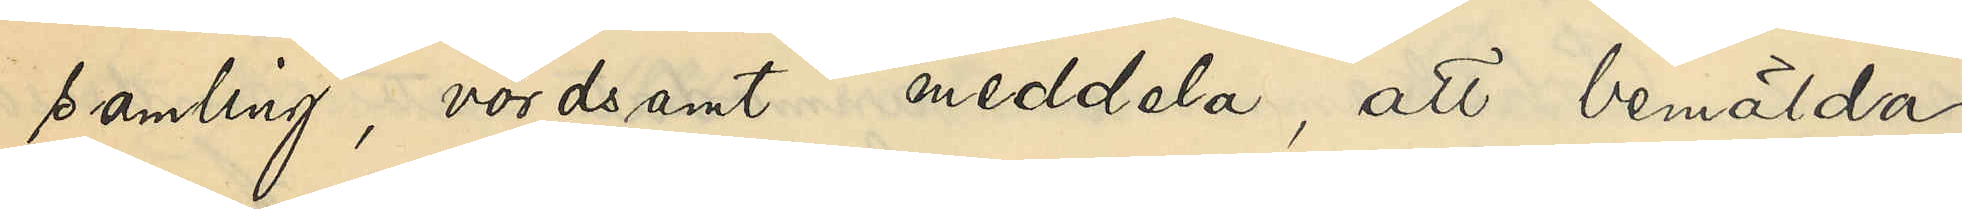samling, vördsamt meddela, att bemälda
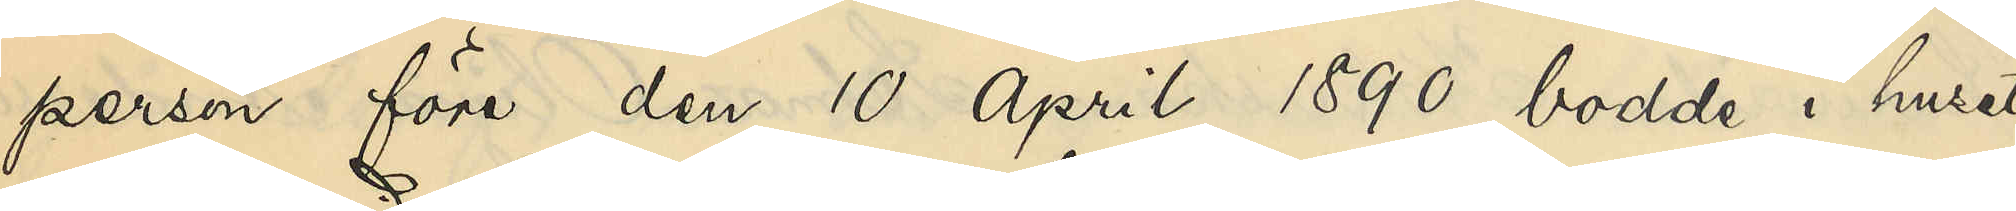person före den 10 April 1890 bodde i huset
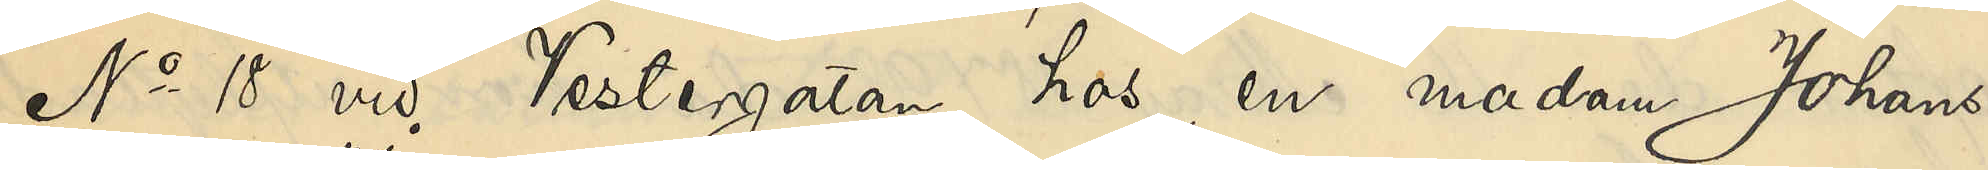No 18 vid Westergatan hos en madam Johans¬
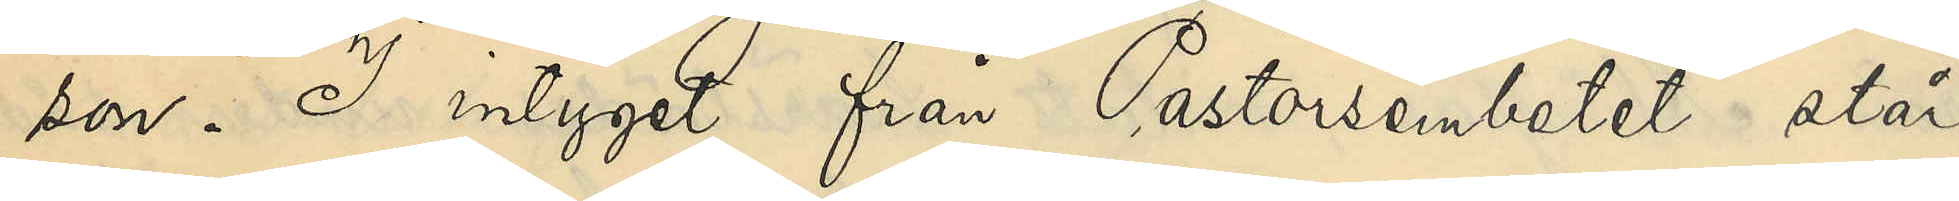son. I intyget från Pastorsembetet står,
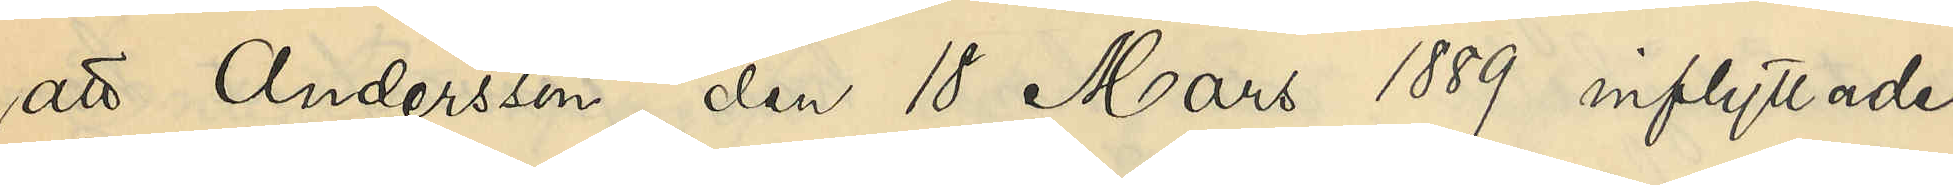att Andersson den 18 Mars 1889 inflyttade
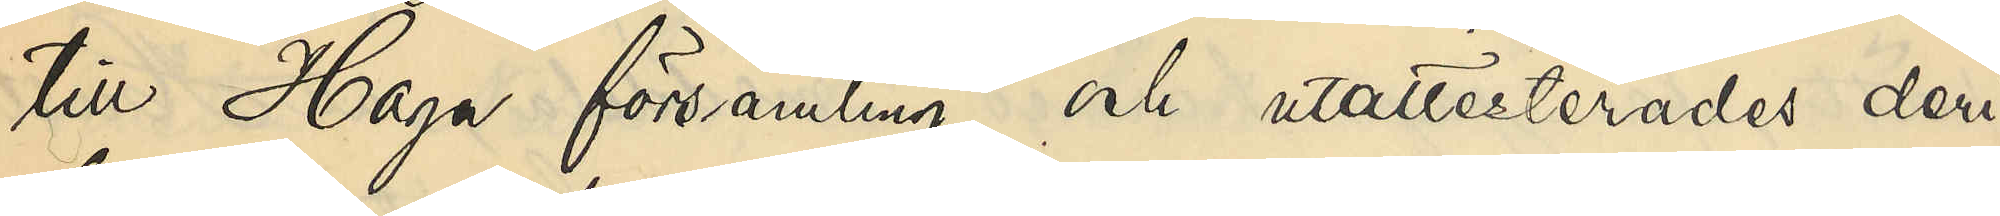till Haga församling och utattesterades deri¬
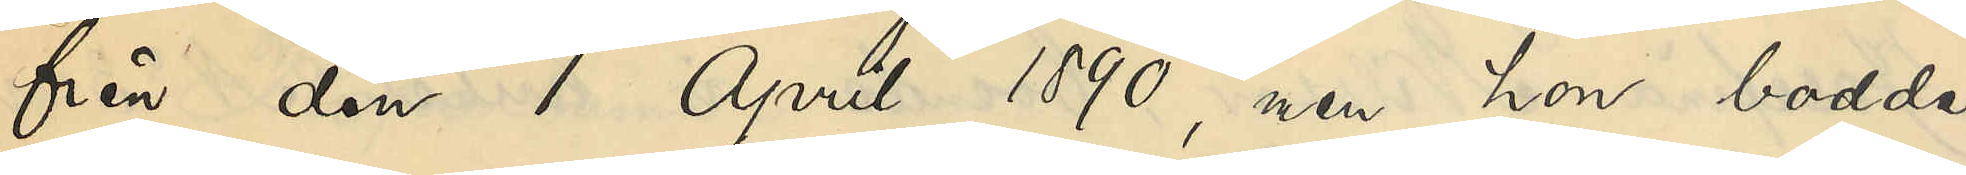från den 1 April 1890, men hon bodde
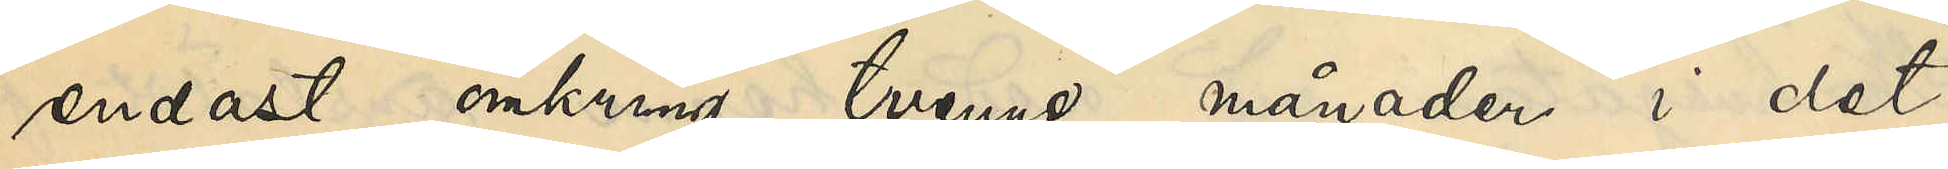endast omkring tvenne månader i det
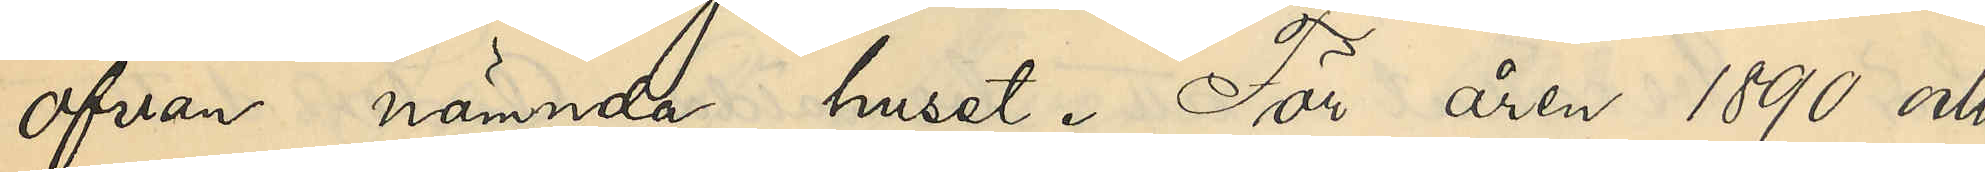ofvan nämnde huset. För åren 1890 och
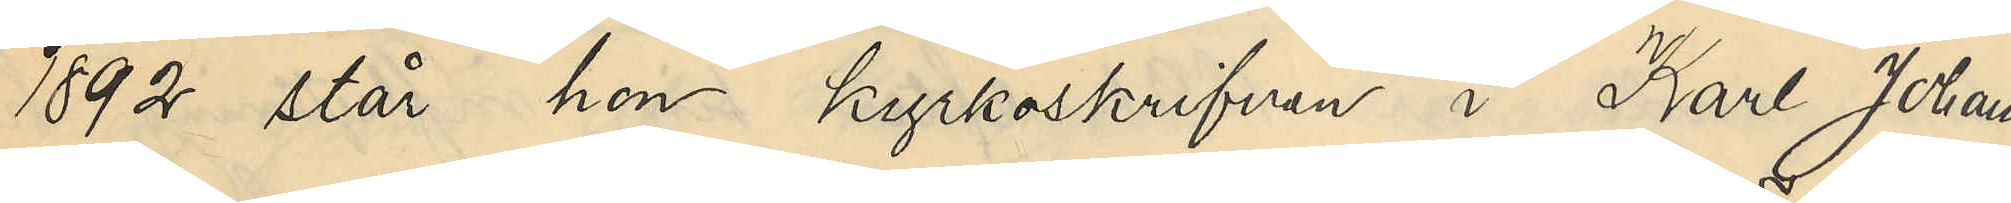1892 står hon kyrkoskrifven i Karl Johans
